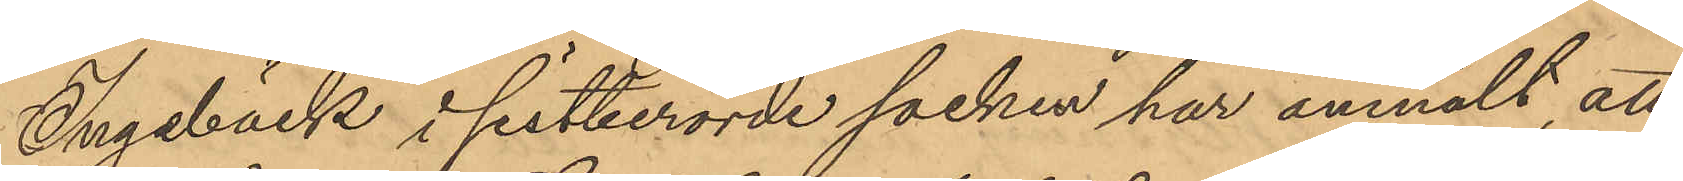Ingebäck i sistberörde socken har anmält att
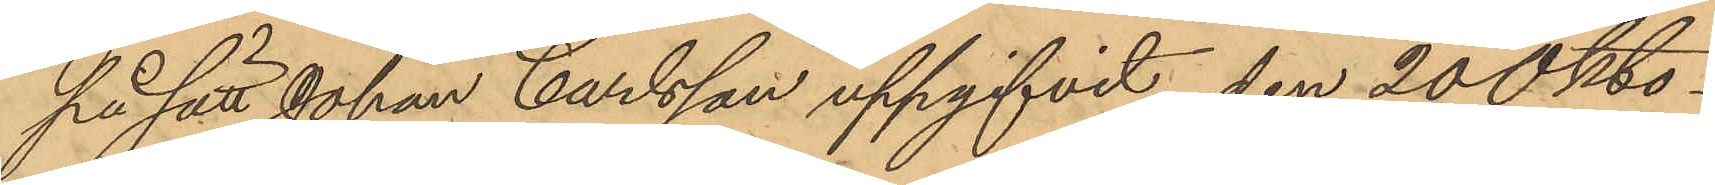på sätt Johan Carlsson uppgifvit den 20 Okto¬
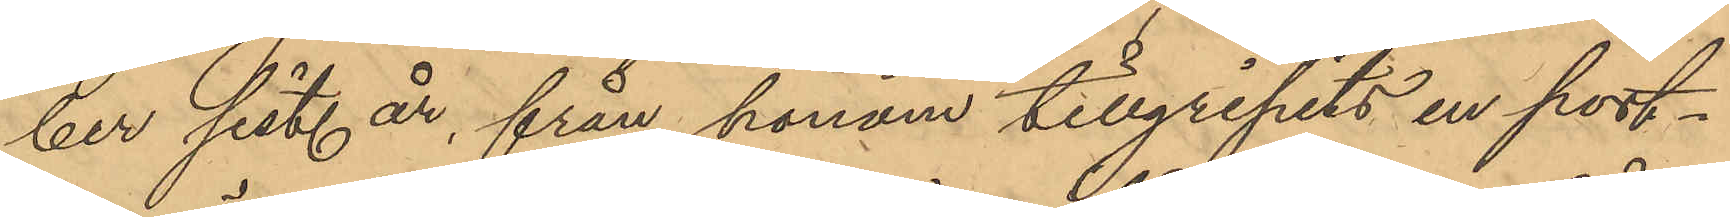ber sist. år, från honom tillgripits en port¬
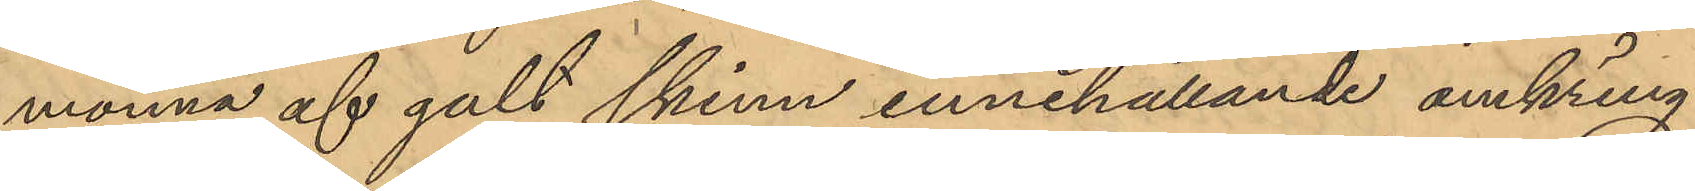monnä af gult skinn innehållande omkring
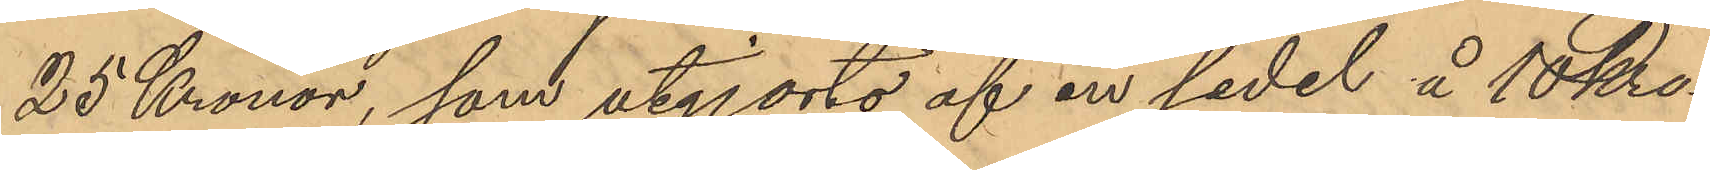25 Kronor, som utgjorts af en sedel å 10 kro¬
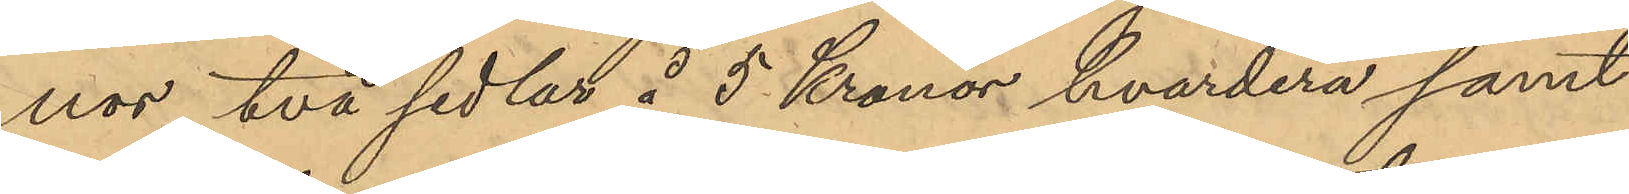nor, två sedlar å 5 Kronor hvardera samt
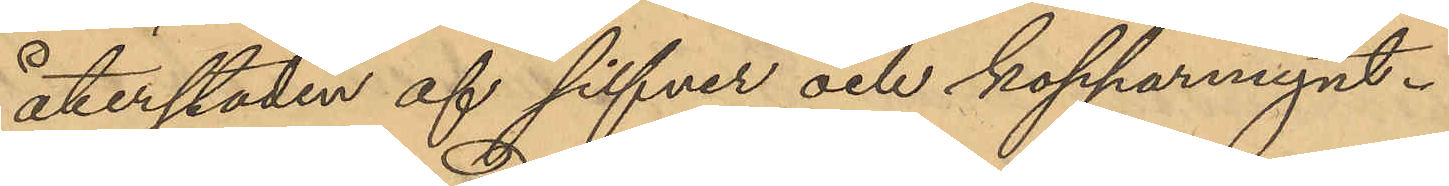återstoden af silfver och kopparmynt.
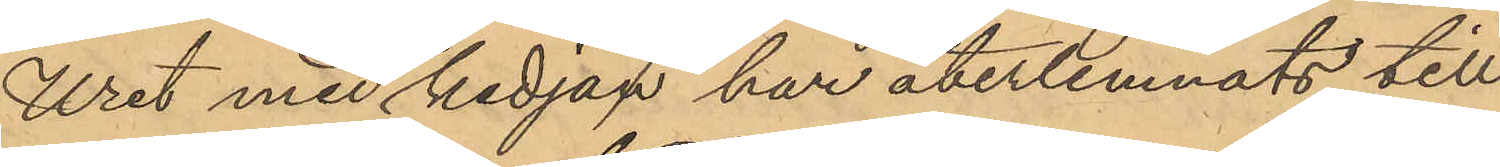Uret med kedjan har återlemnats till
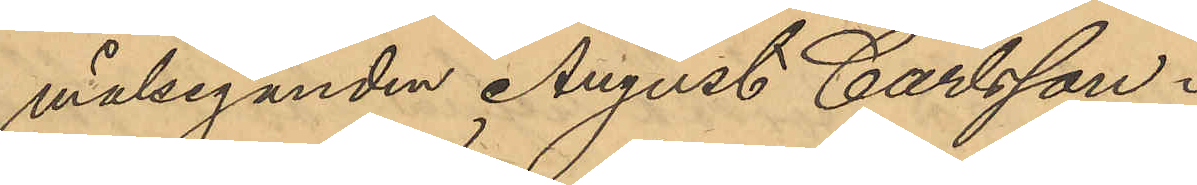målseganden August Carlsson.
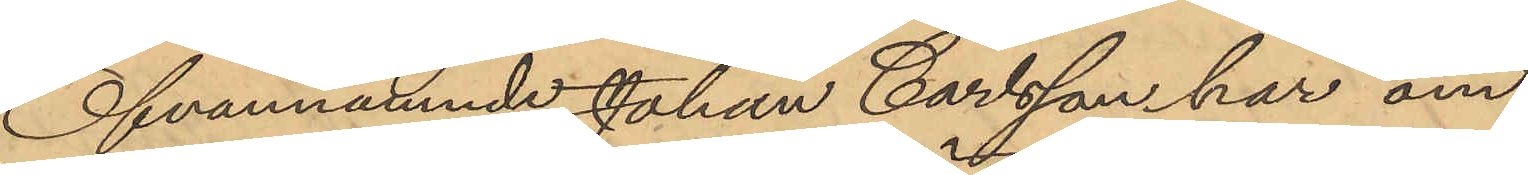Ofvannämnde Johan Carlsson har om
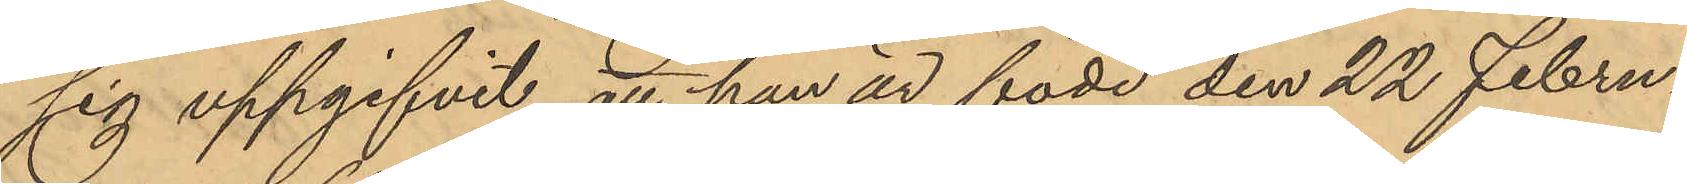sig uppgifvit, att han är född den 22 Febru¬
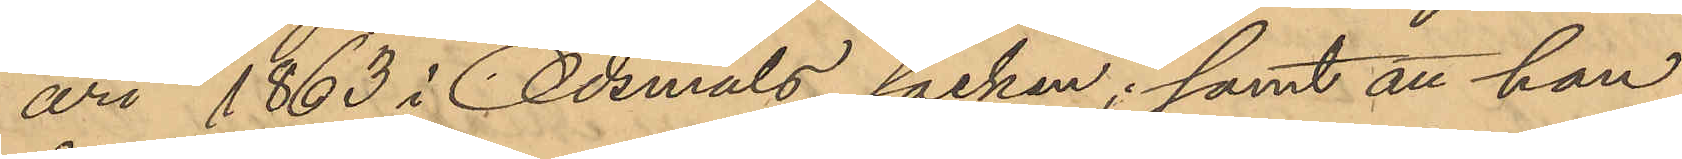ari 1863 i Ödemåls socken; samt att han
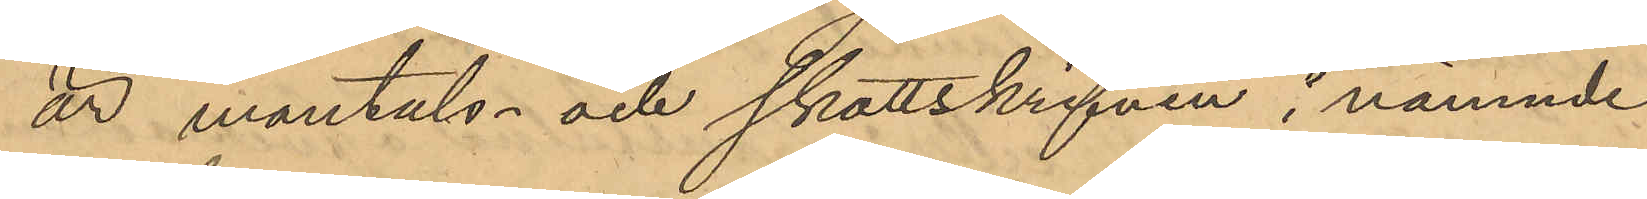är mantals- och skattskrifven i nämnde
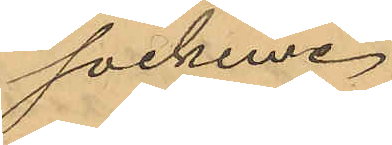socken.
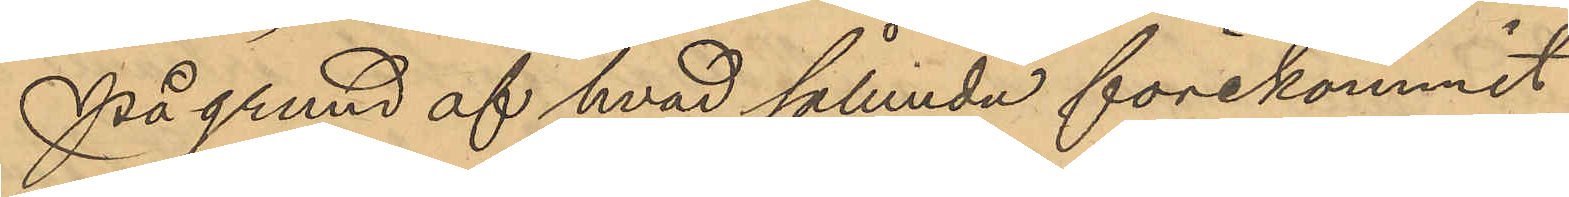På grund af hvad sålunda förekommit
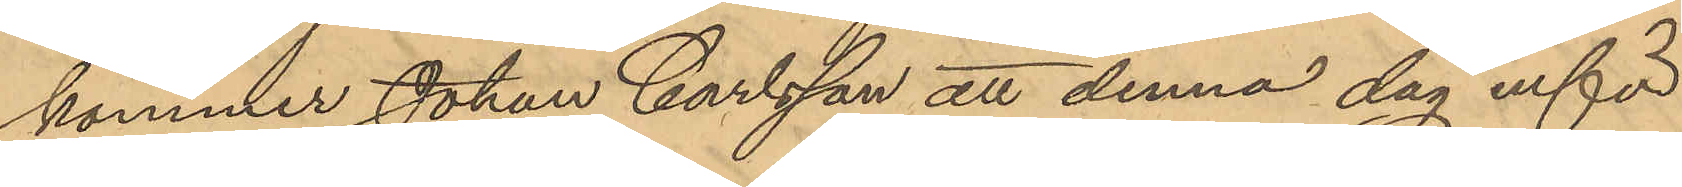kommer Johan Carlsson att denna dag inför
